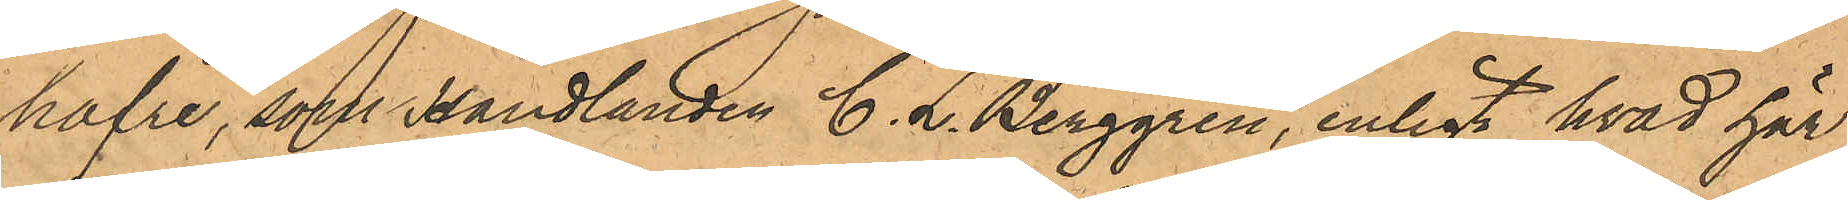hafre, som Handlanden C. L. Berggren, enligt hvad har
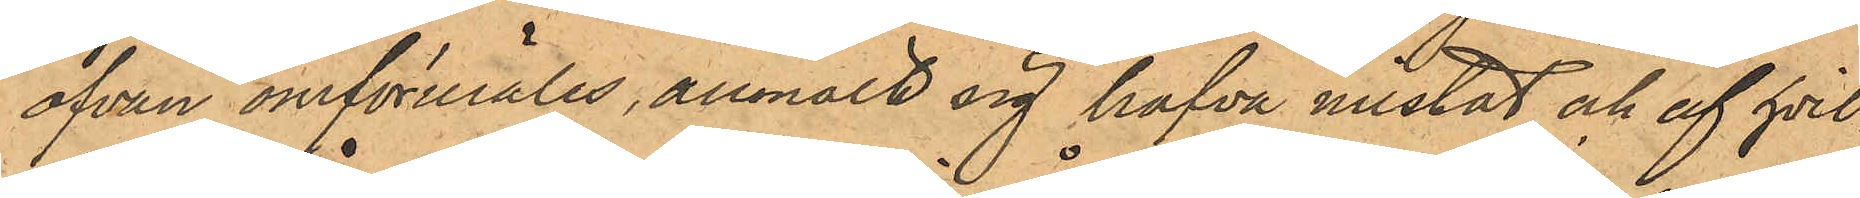ofvan omförmäles, anmält sig hafva mistat och af hvil¬
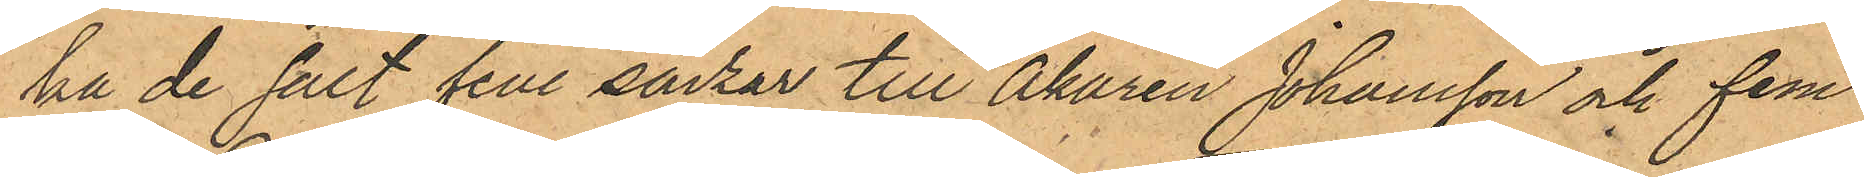pa de sålt fem säckar till Åkaren Johansson och fem
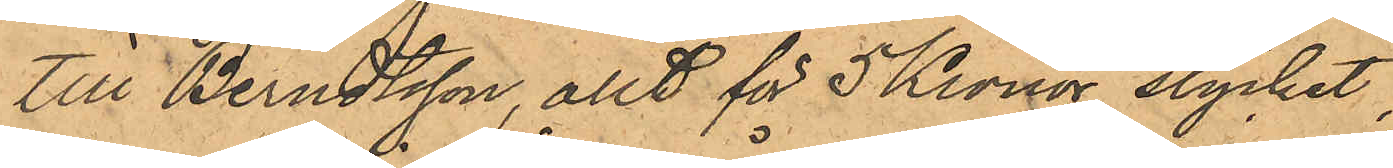till Berndtsson, allt för 5 Kronor stycket;
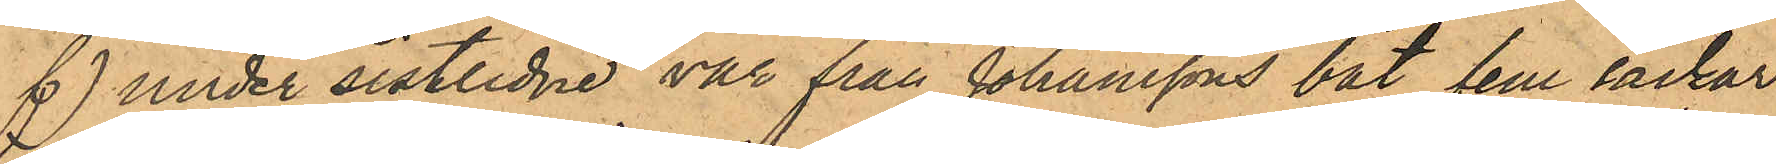f) under sistlidne vår från Johanssons båt fem säckar
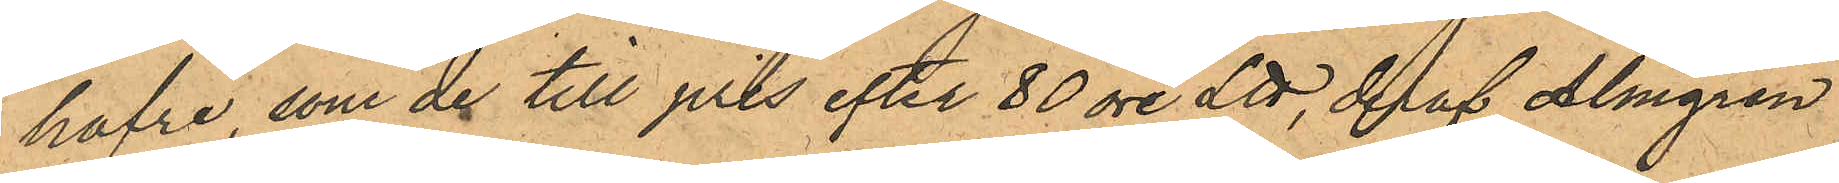hafre som de till pris efter 80 öre L℔, deraf Almgren
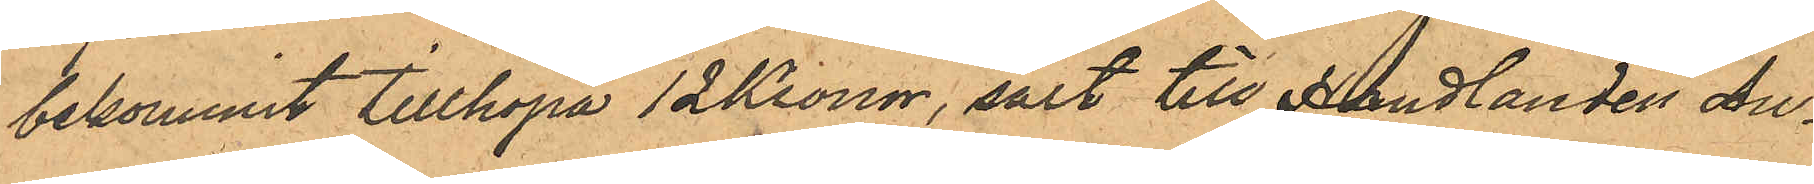bekommit tillhopa 12 Kronor, sålt till Handlanden Au¬
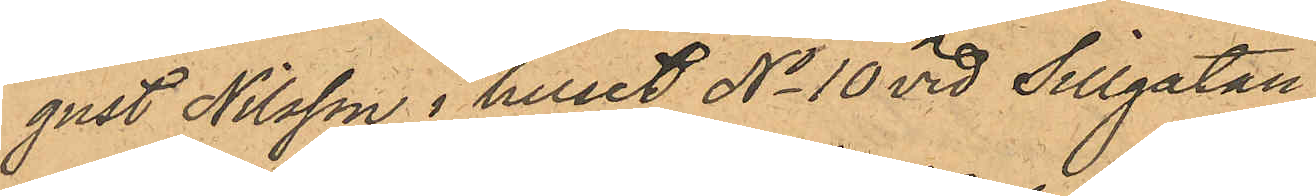gust Nilsson i huset No 10 vid Sillgatan;
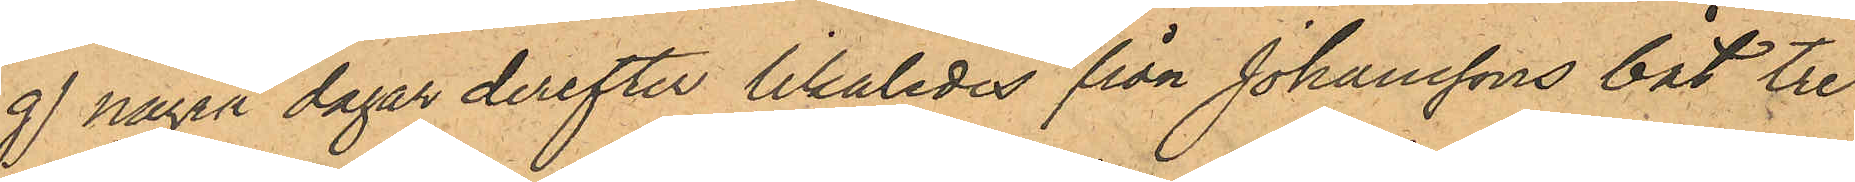g) några dagar derefter likaledes från Johanssons båt tre
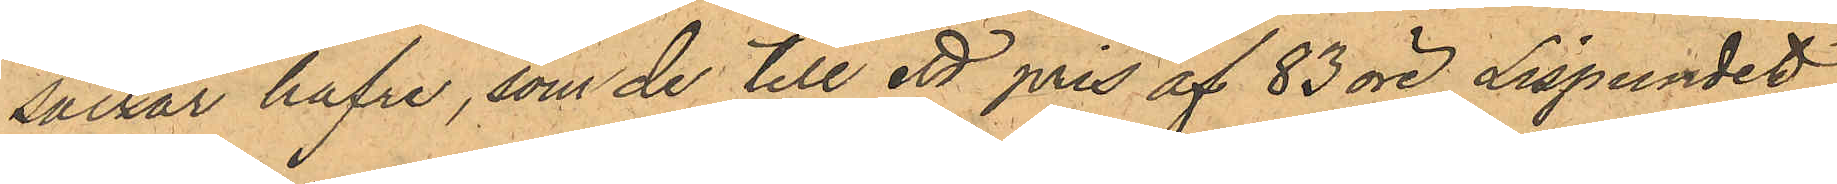säckar hafre, som de till ett pris af 83 öre Lispundet
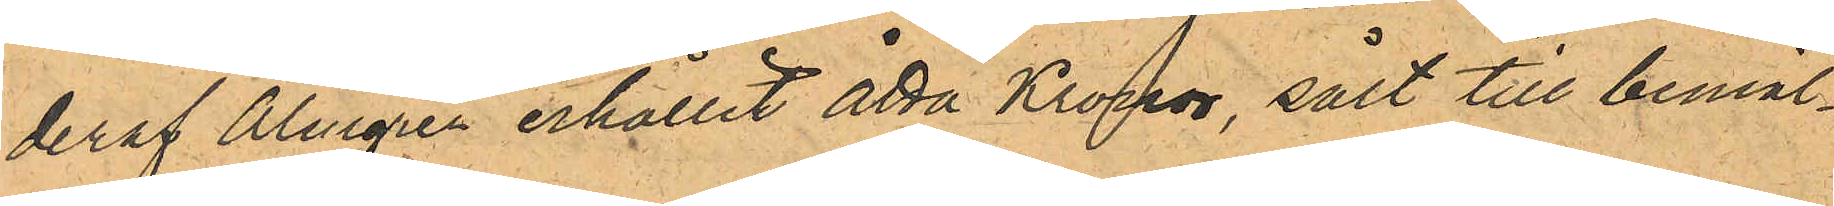deraf Almgren erhållit åtta Kronor, sålt till bemäl¬
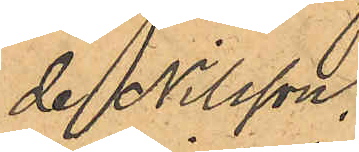de Nilsson;
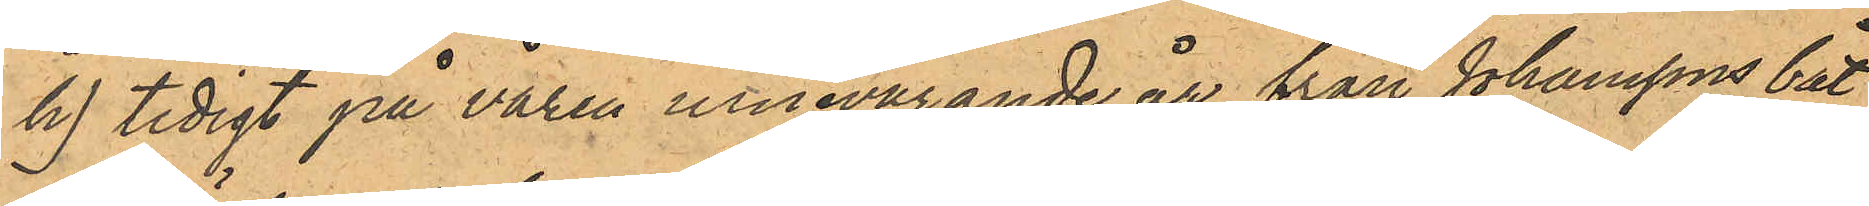h) tidigt på våren innevarande år från Johanssons båt
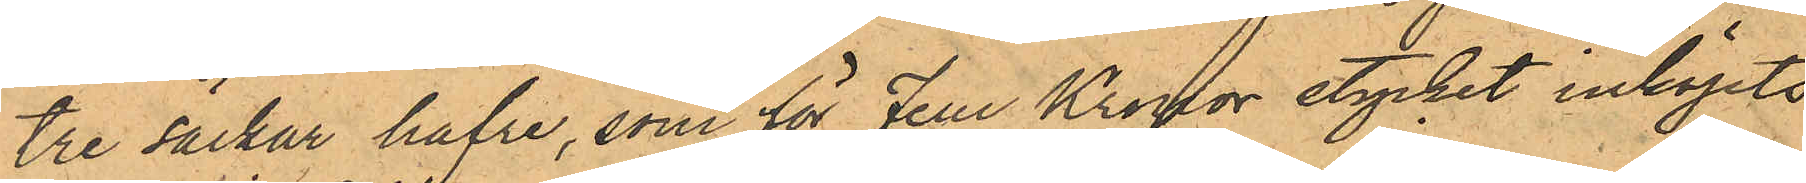tre säckar hafre, som för Fem Kronor stycket inköpts
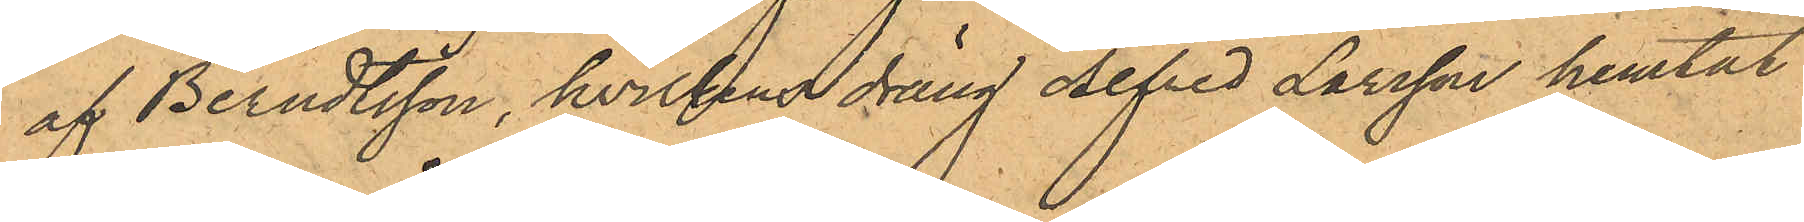af Berndtsson, hvilkens dräng Alfred Larsson hemtat
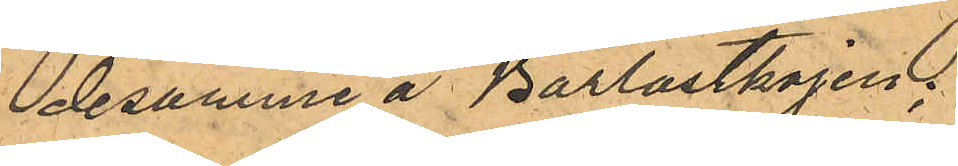desamme å Barlastkajen;
